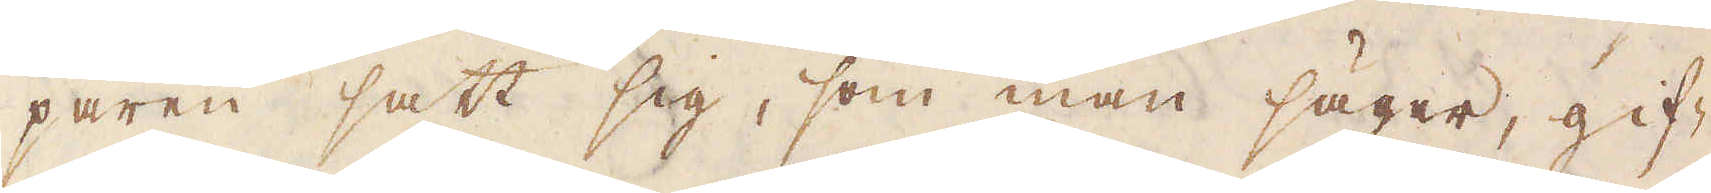paren satt sig, som man säger, gif-
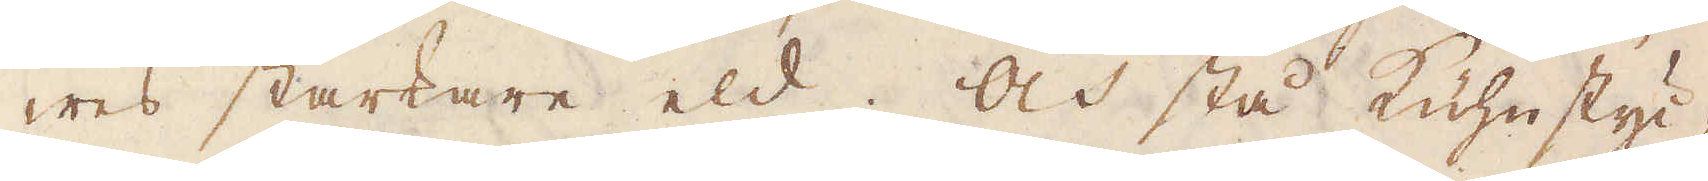wes starkare eld. Och stå Kühnstyc-
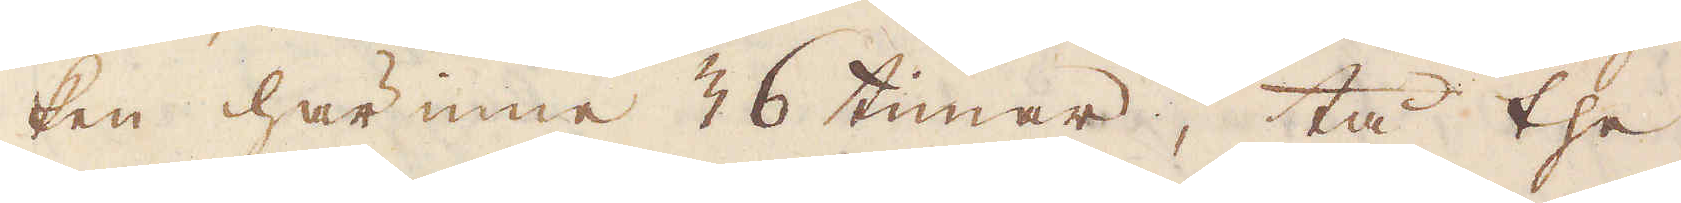ken här inne 36 timar, tå the
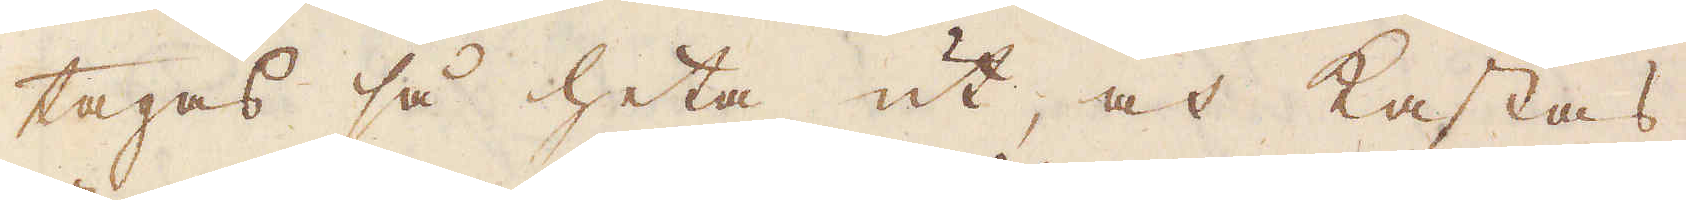tages så heta ut, och kastas
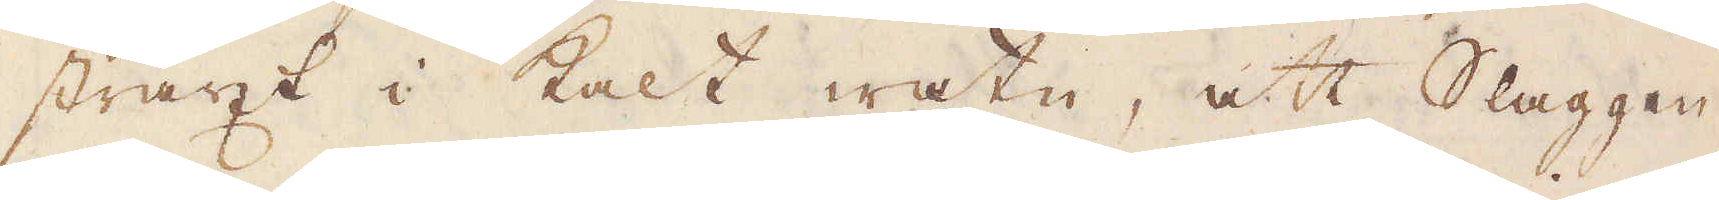straxt i kalt watn, att Slaggen
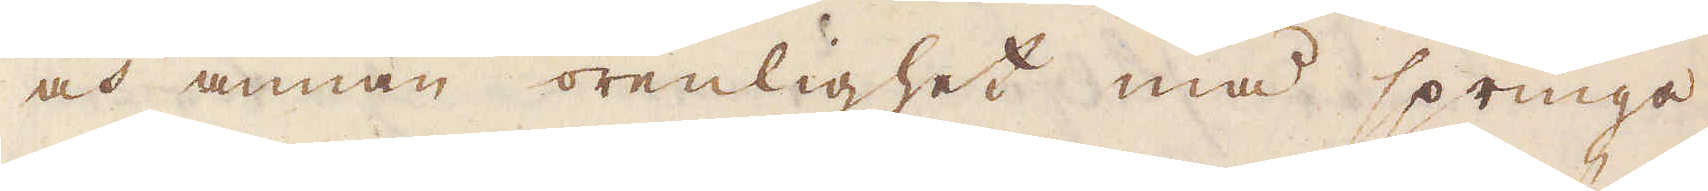och annan orenlighet må springa
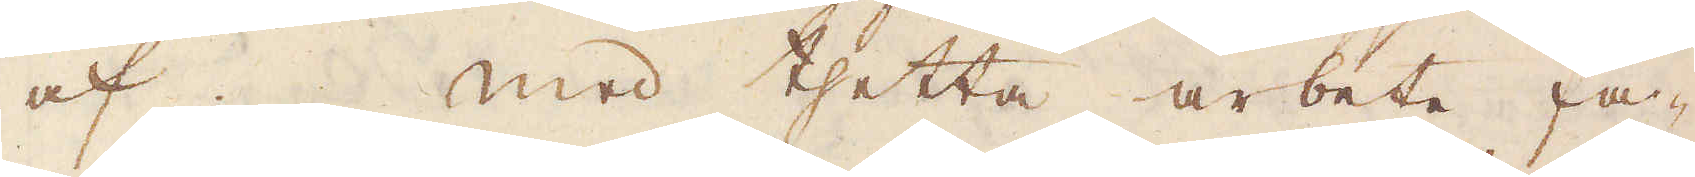af med thetta arbete fa-
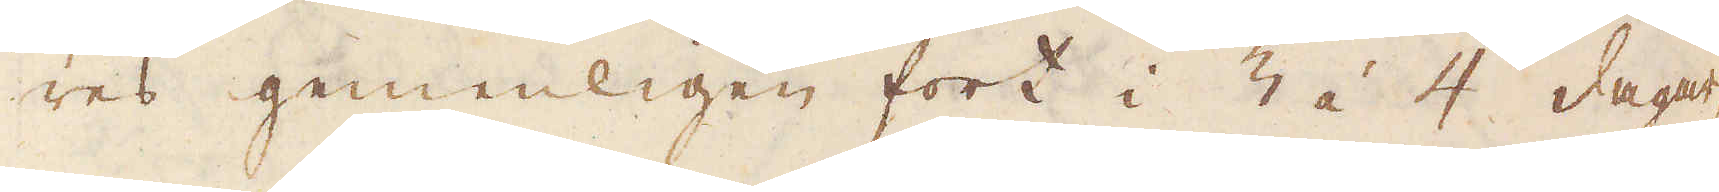res gemenligen fort i 3 áà 4 dagar,
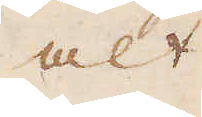alt
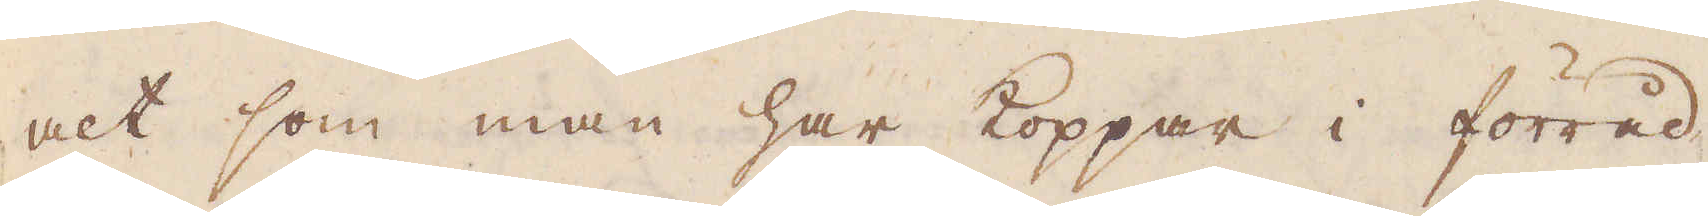alt som man har koppar i förråd
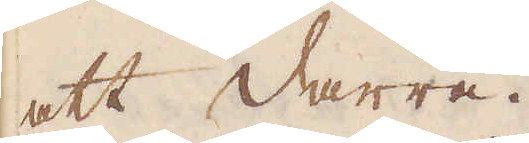att darra.
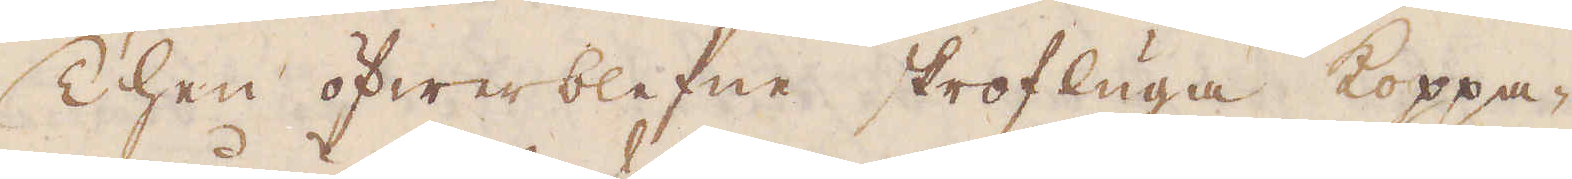Then öfwerblefne skrofluga koppa-
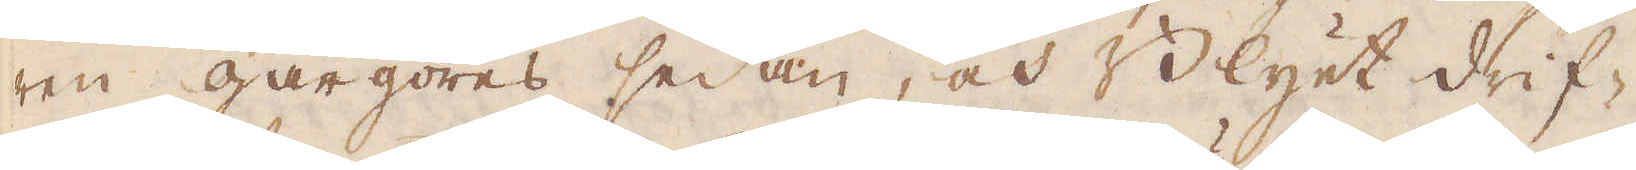ren gårgöres sedan, och Blyet drif-
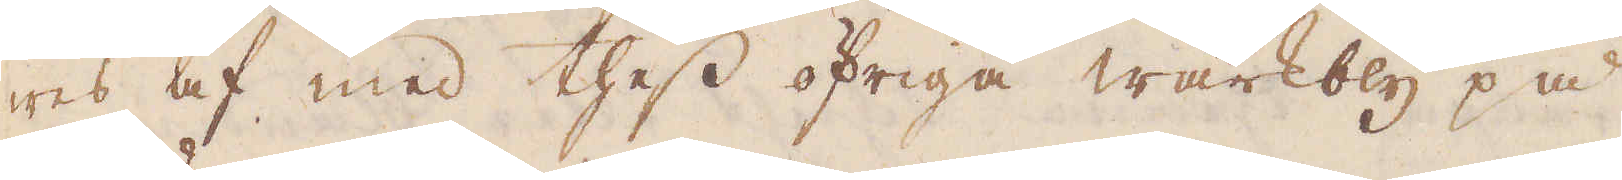wes af med thess öfriga wärkbly på
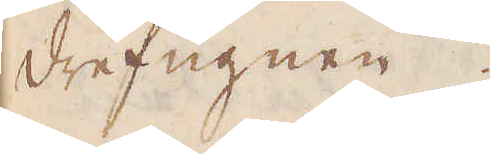drefugnen.
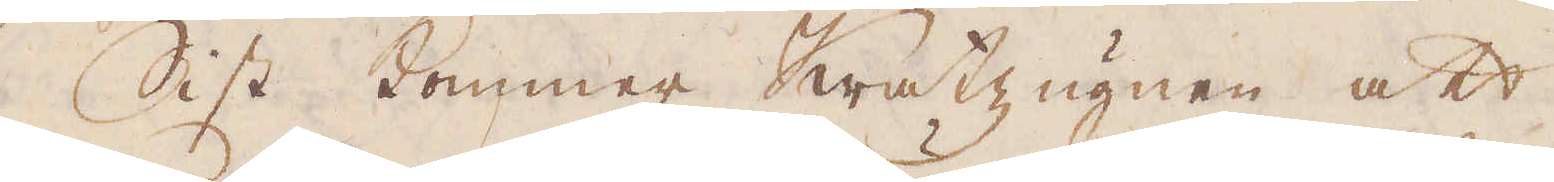Sist kommer Kratzugnen att
